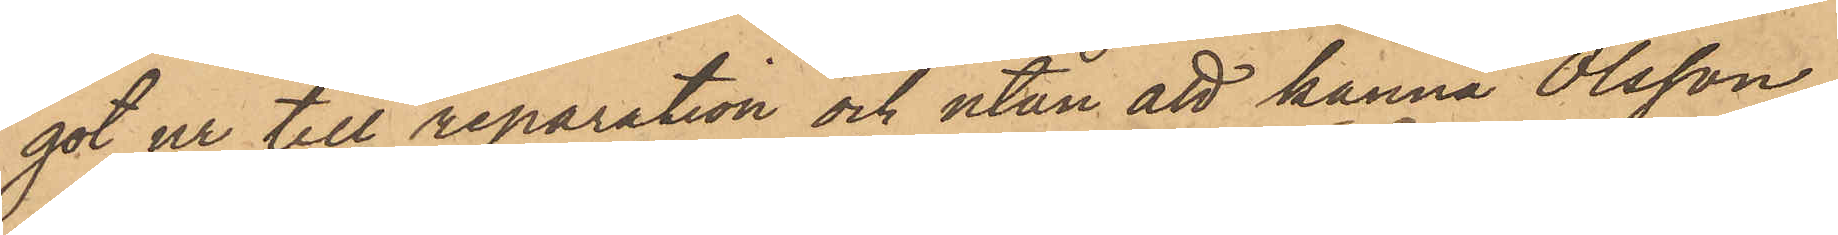got ur till reparation och utan att känna Olsson,
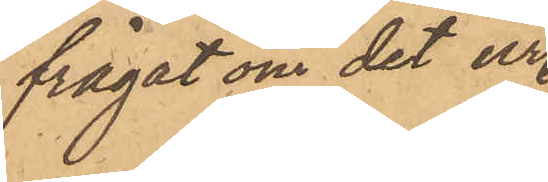frågat om det ur
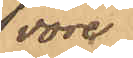vore
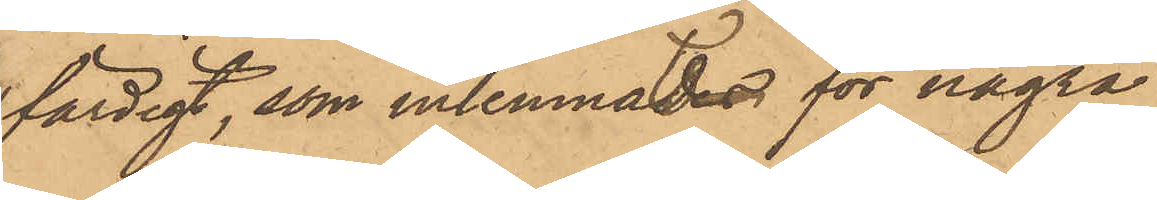färdigt, som inlemnades för några
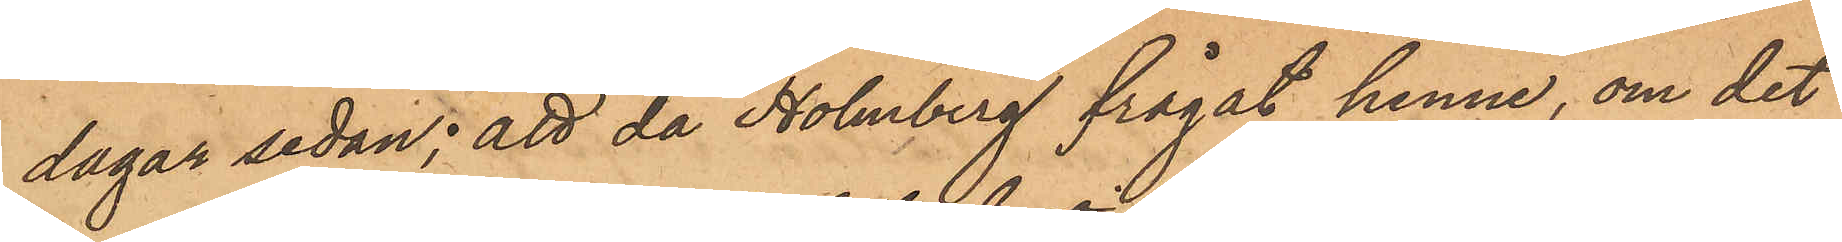dagar sedan; att då Holmberg frågat henne, om det
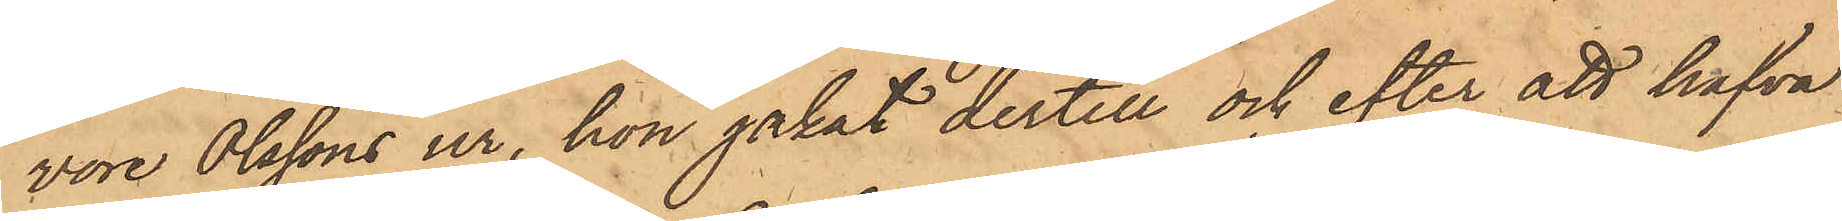vore Olssons ur, hon jakat dertill och efter att hafva
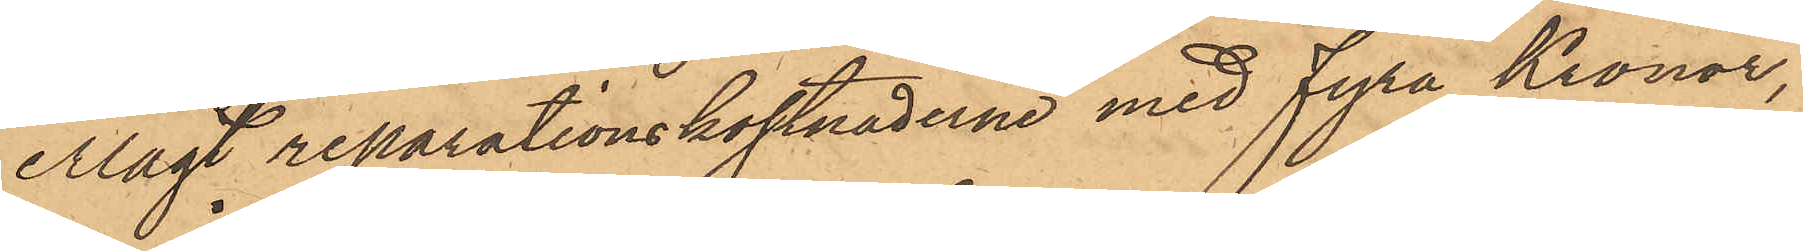erlags reparationskostnaderne med fyra Kronor,
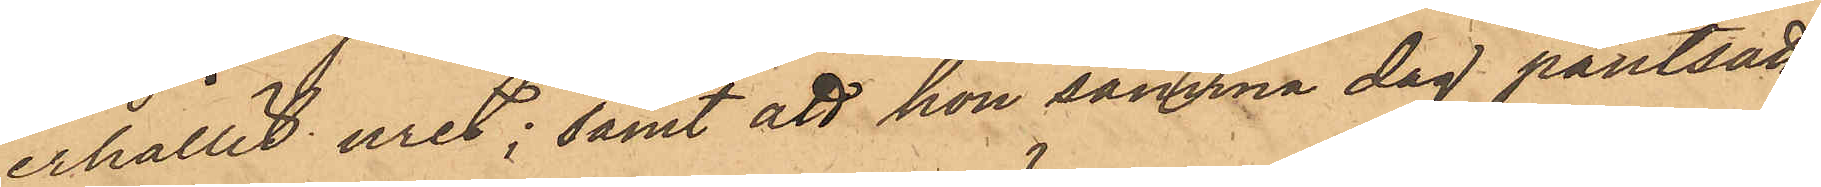erhållit uret; samt att hon samma dag pantsatt
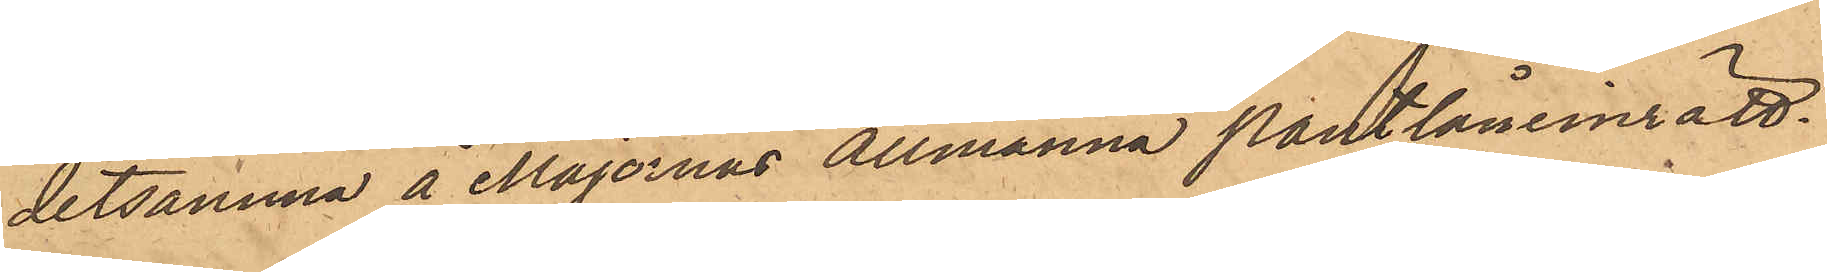detsamma å Majornas Allmänna Pantlåneinrätt¬
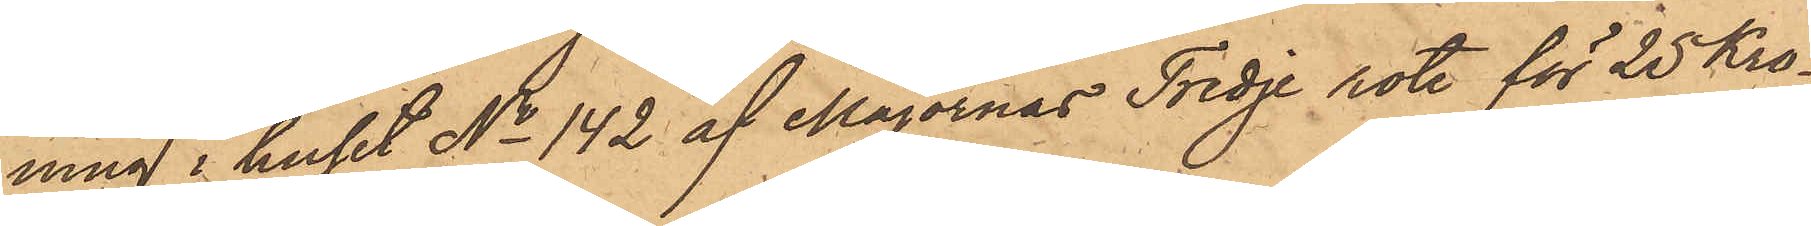ning i huset No 142 af Majornas Tredje rote för 25 Kro¬
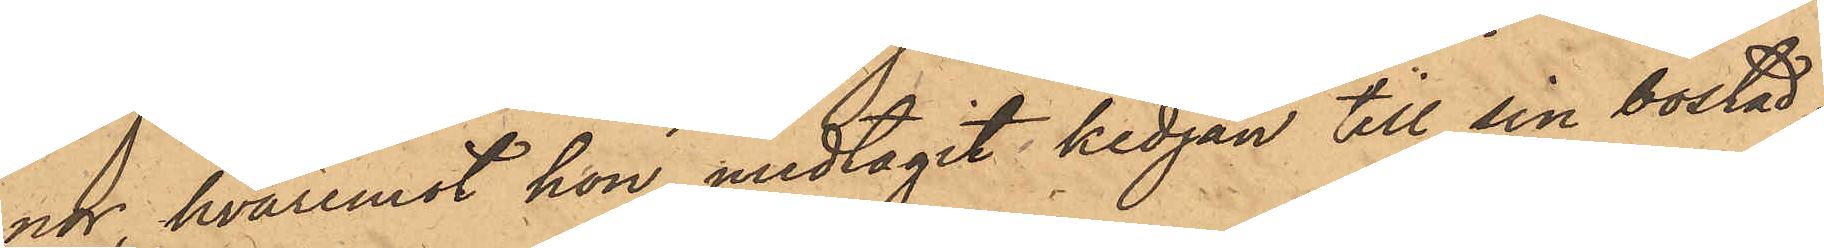nor, hvaremot hon medtagit kedjan till sin bostad,
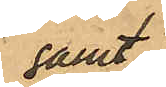samt
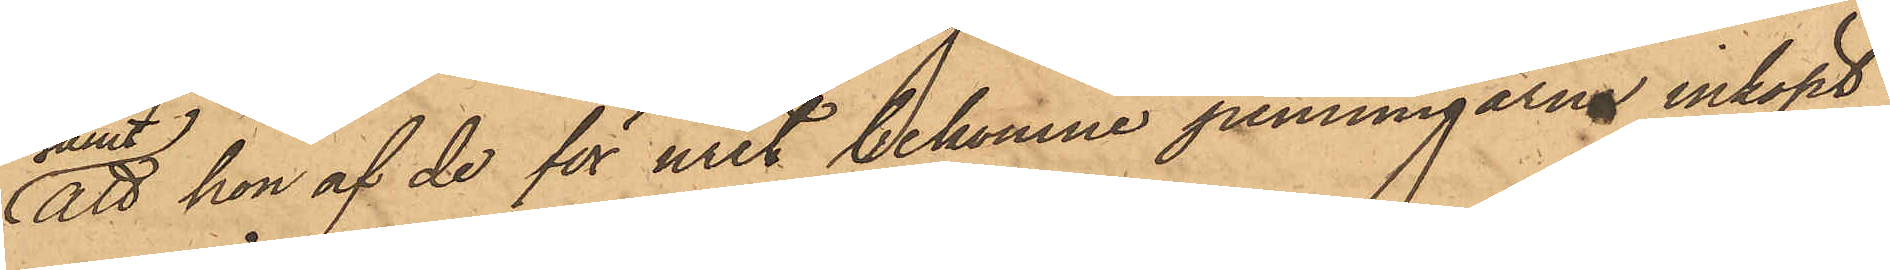att hon af de för uret bekomne penningarne inköpt
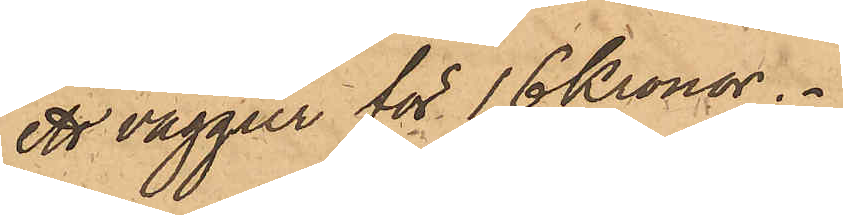ett väggur för 16 Kronor.
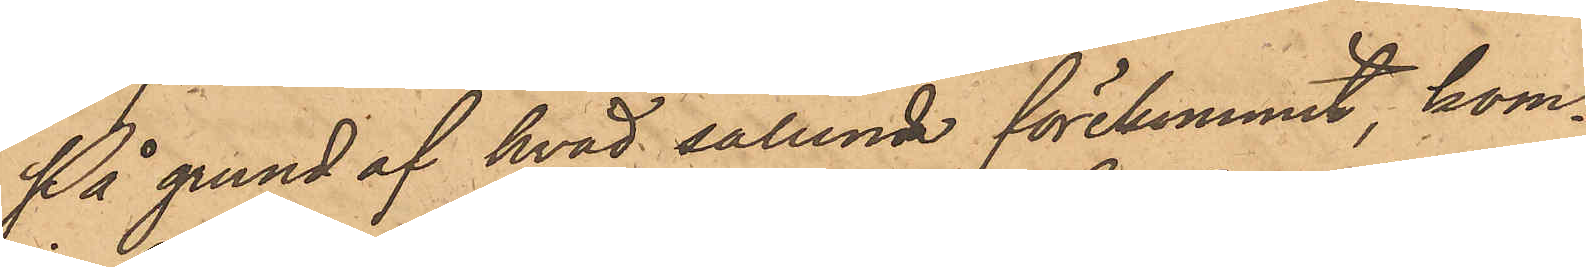På grund af hvad sålunda förekommit, kom¬
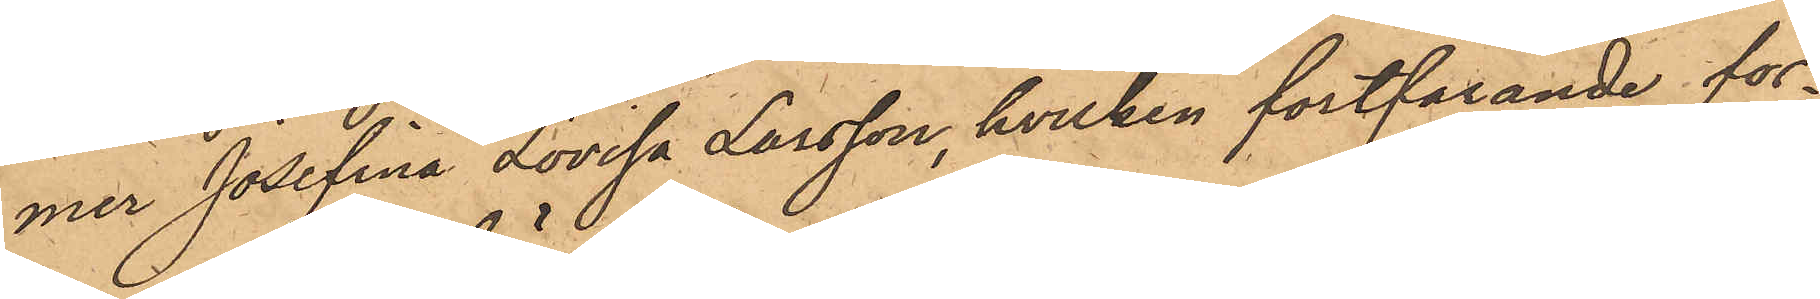mer Josefina Lovisa Larsson, hvilken fortfarande för¬
